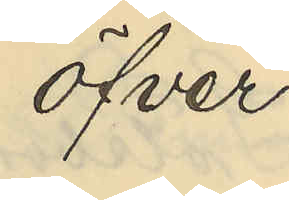öfver
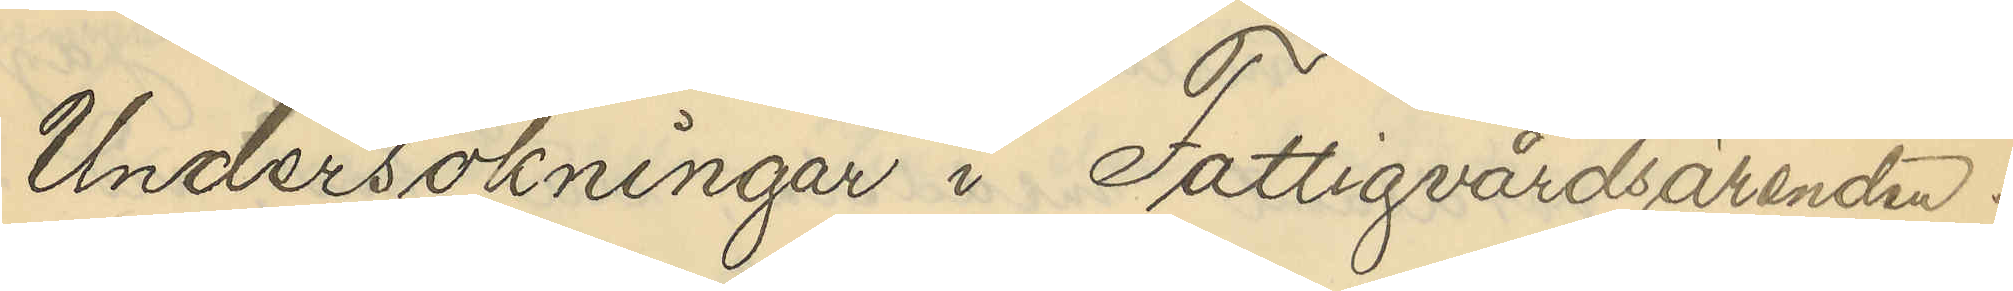Undersökningar i Fattigvårdsärenden.
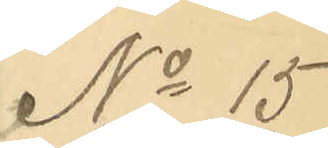No 15
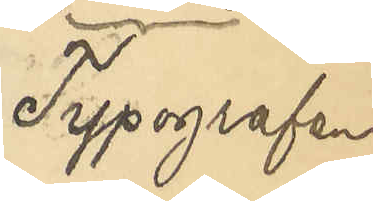Typografen
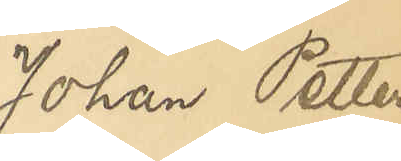Johan Petter
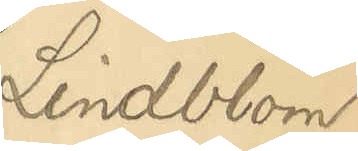Lindblom
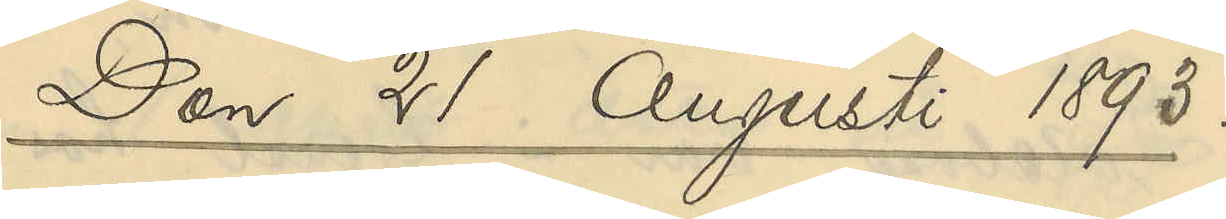Den 21 Augusti 1893
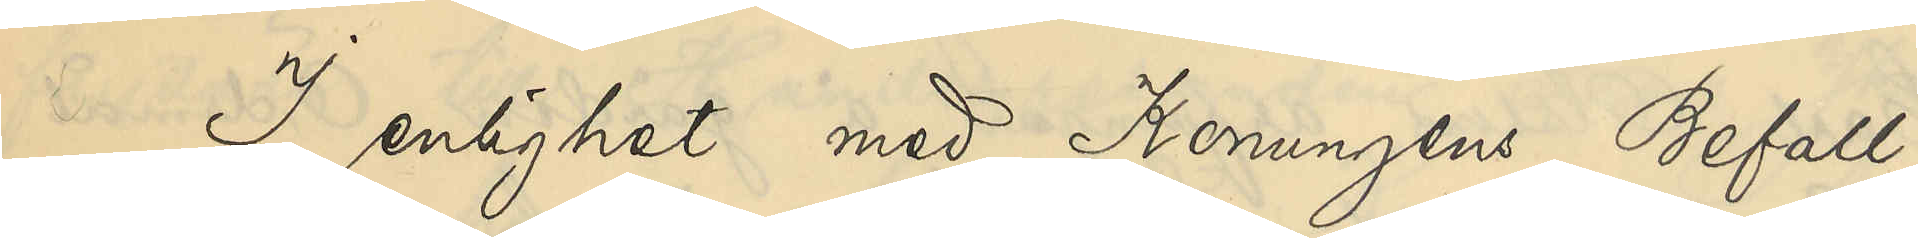I enlighet med Konungens Befall¬
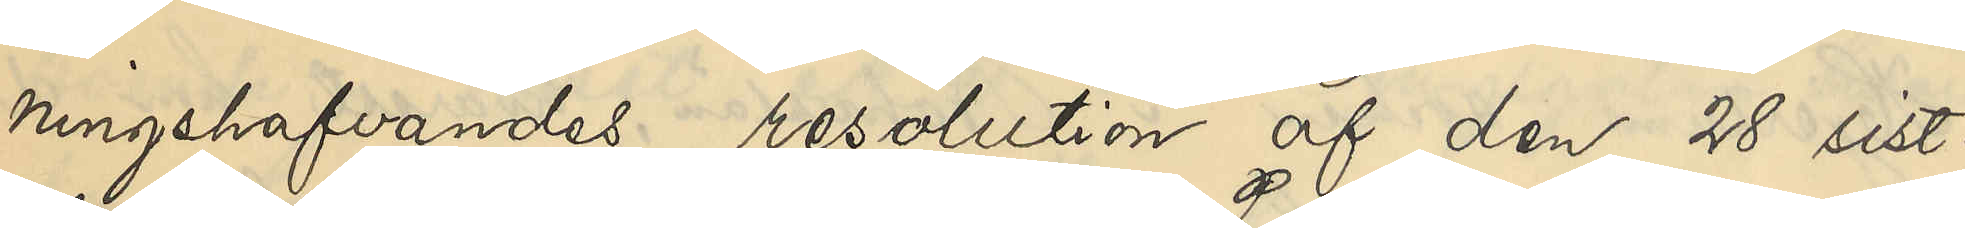ningshafvandes resolution af den 28 sist¬
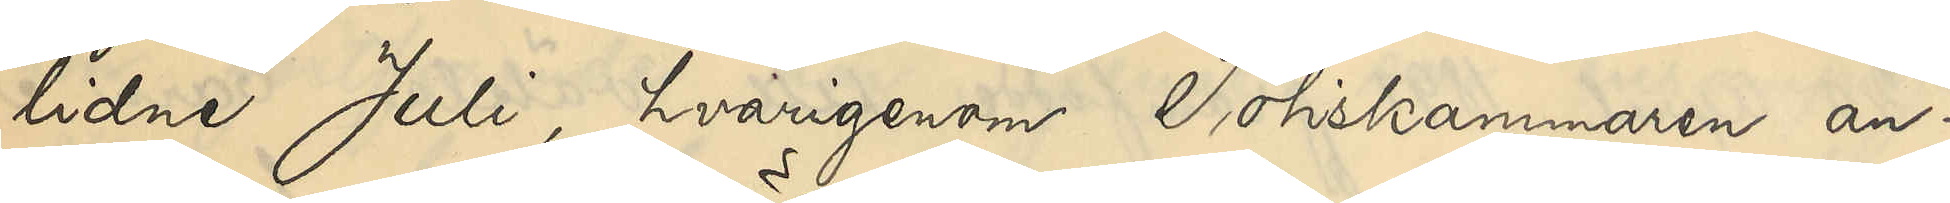lidne Juli, hvarigenom Poliskammaren an¬
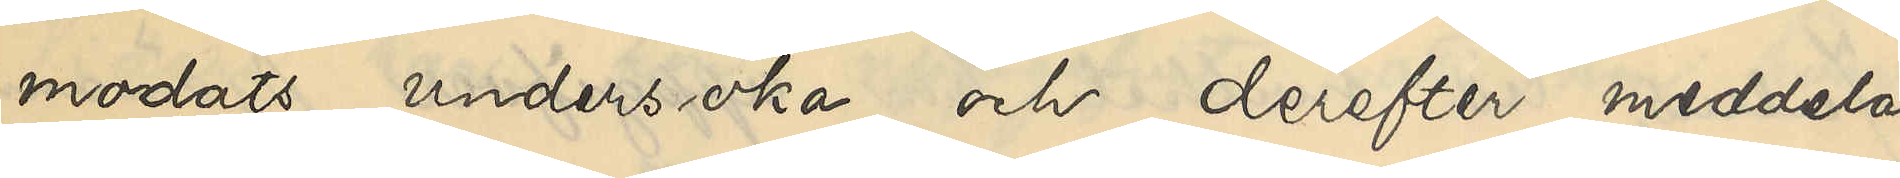modats undersöka och derefter meddela
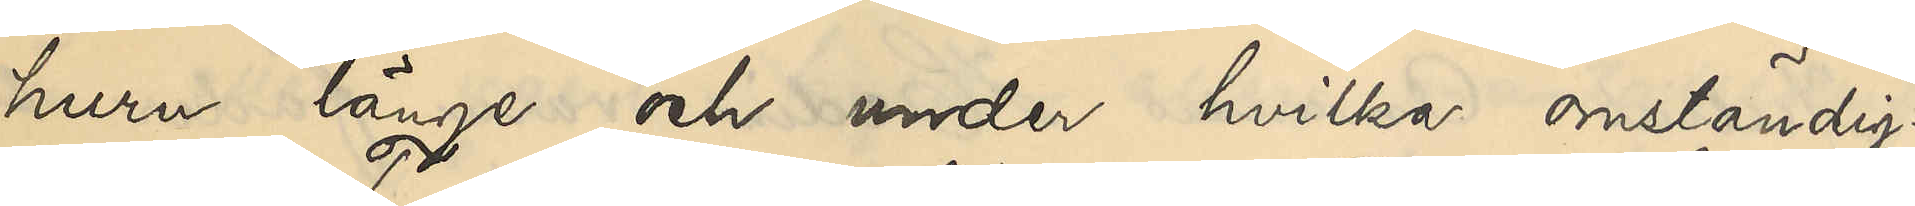huru länge och under hvilka omständig¬
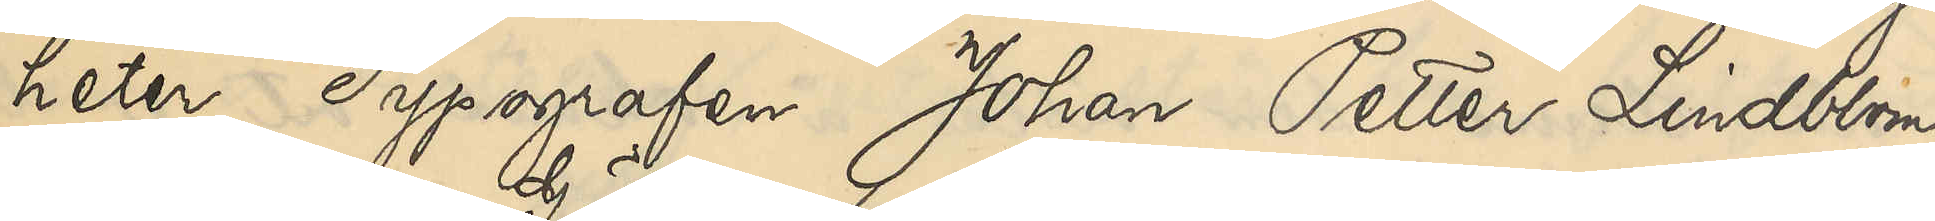heter Typografen Johan Petter Lindblom
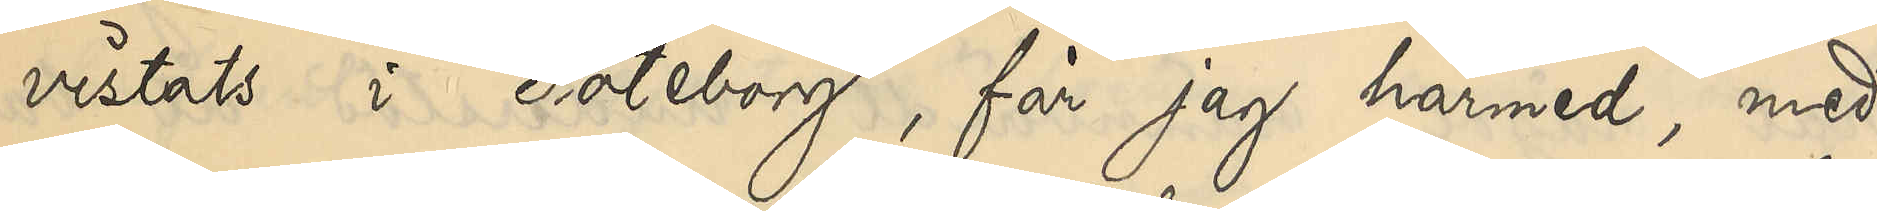vistats i Göteborg, får jag härmed, med
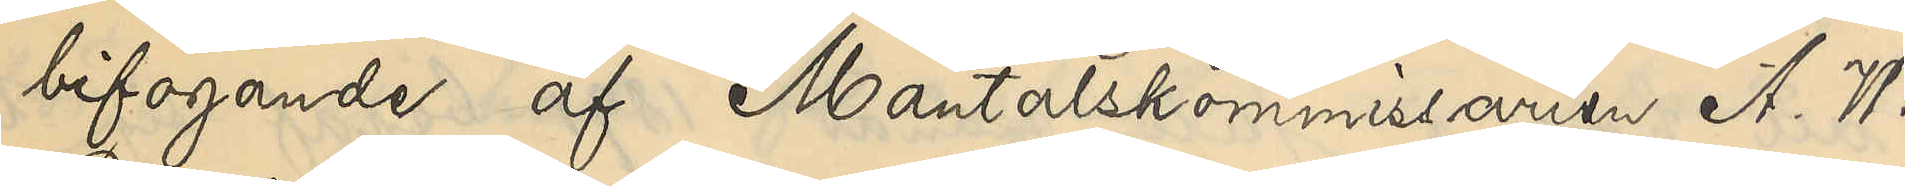bifogande af Mantalskommissarien A. W.
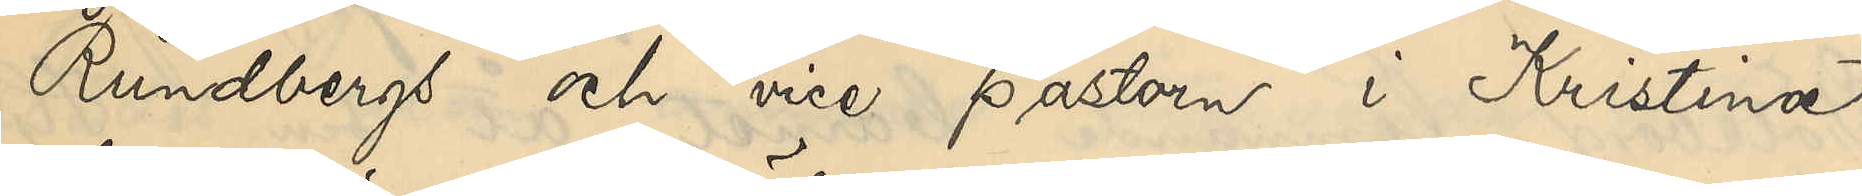Rundbergs och vice pastorn i Kristine
